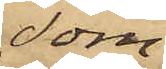som
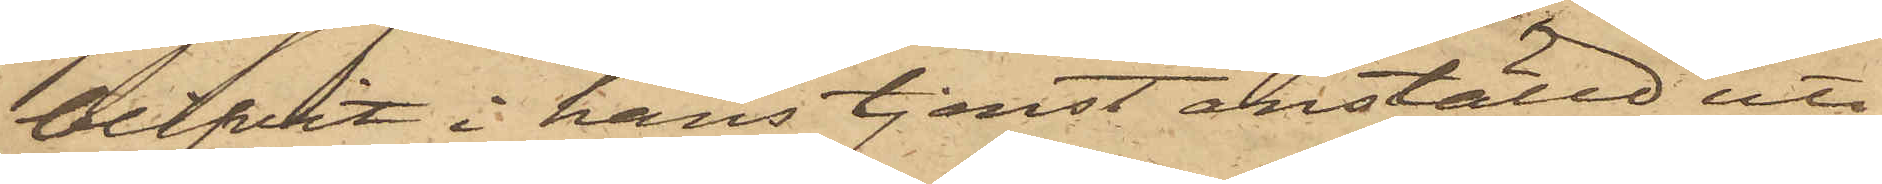blifvit i hans tjenst anställd uti
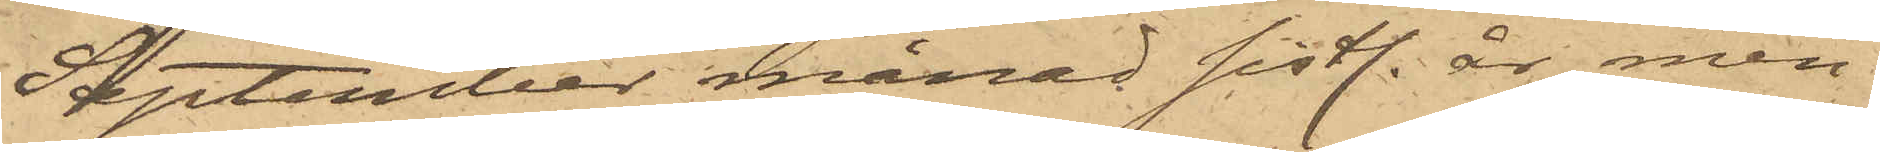September månad sistl. år, men
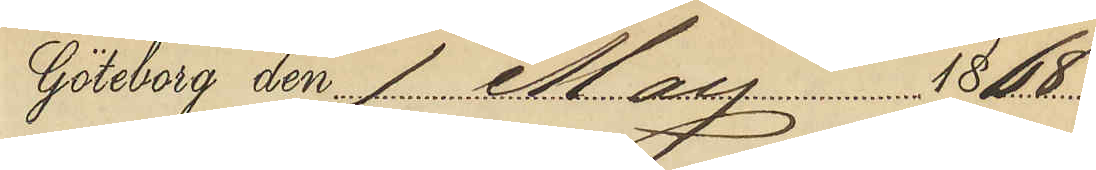Göteborg den 1 Maj 1868
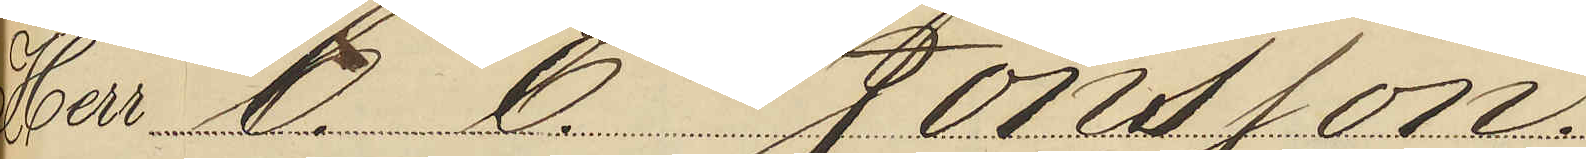Herr C. E. Jönsson.
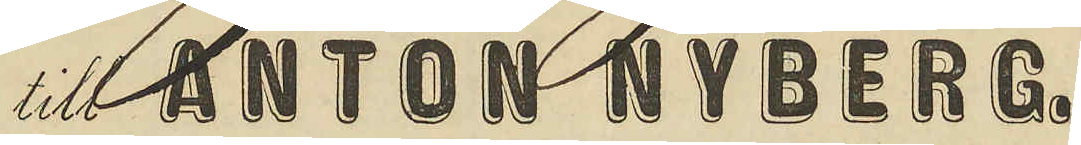till ANTON NYBERG.
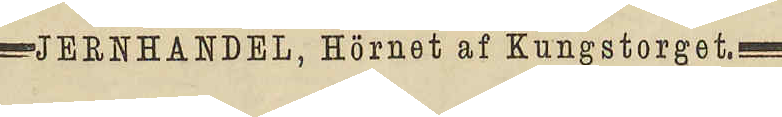JERNHANDEL, Hörnet af Kungstorget
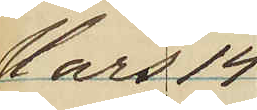Mars 14
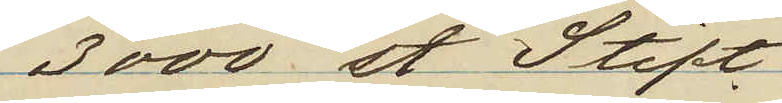3000 st. Stift
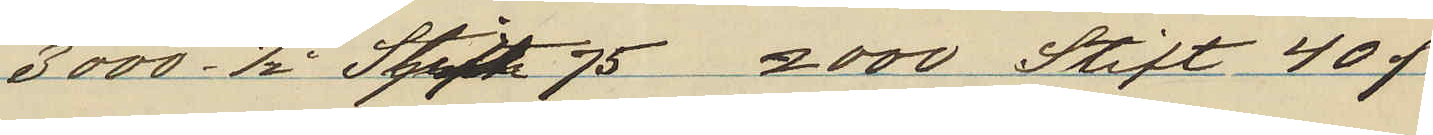3000 1/2" Stift 75 2000 Stift 40 o
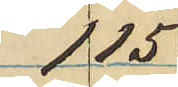1 15
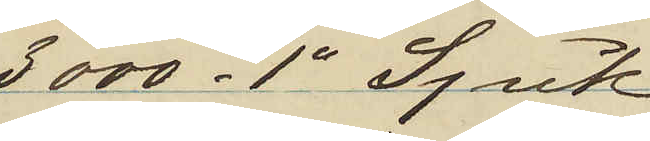3000 1" Spik
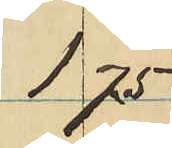1 75
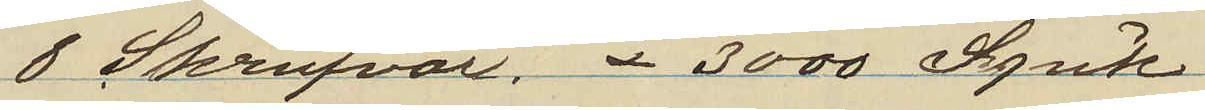8 Skrufvar 3000 Spik
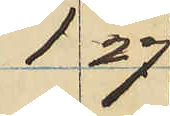1 27
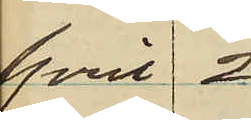April 2
